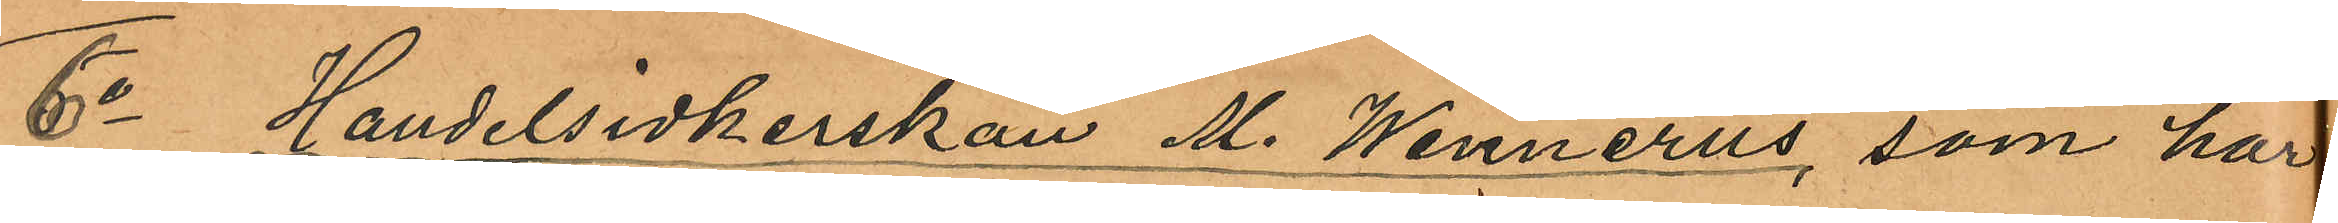6o Handelsidkerskan M. Wennérus, som har
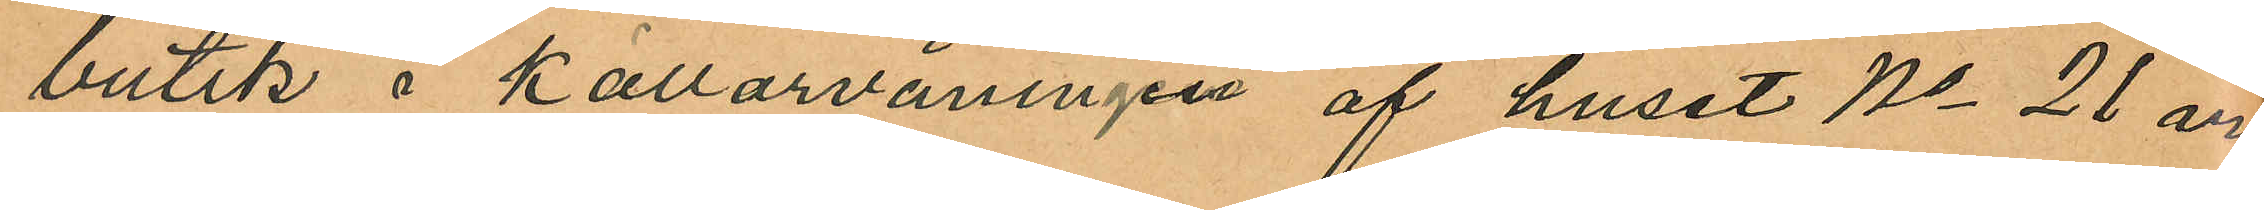butik i Källarvåningen af huset No 21 vid
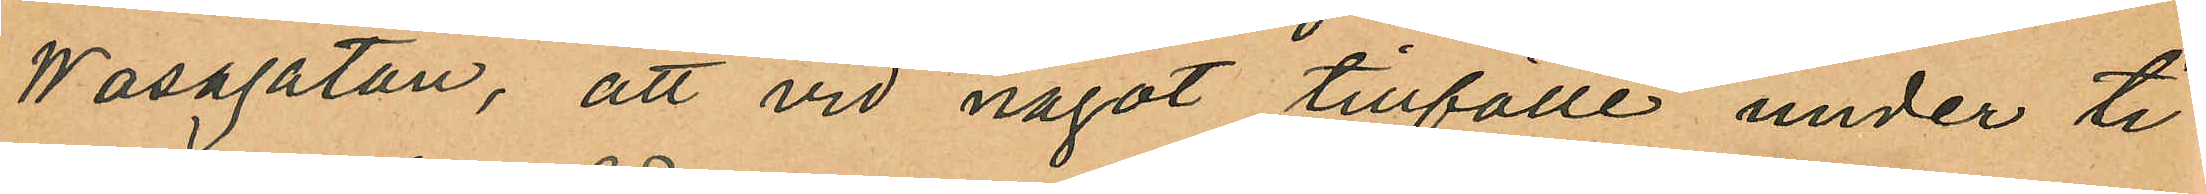Wasagatan, att vid något tillfälle under ti¬
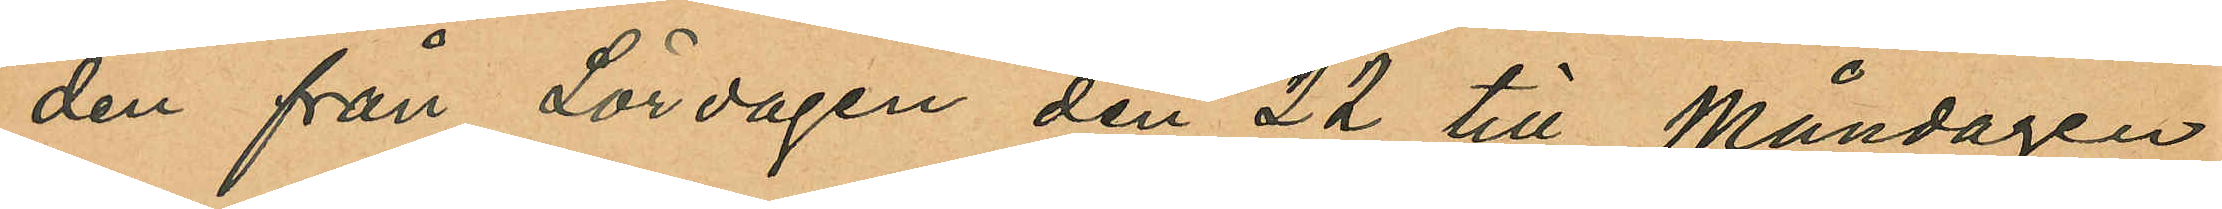den från Lördagen den 22 till Måndagen
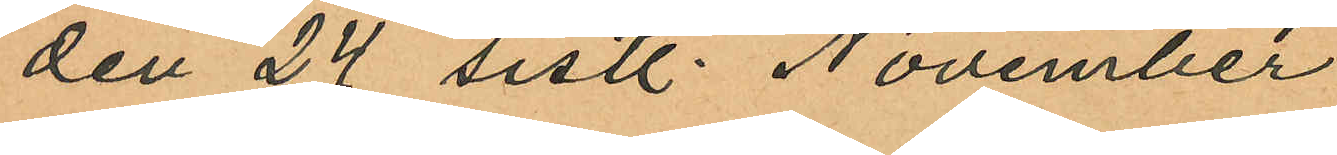den 24 sistl. November
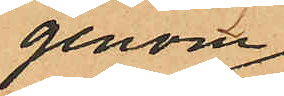genom
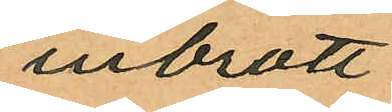inbrott
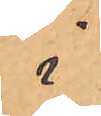i
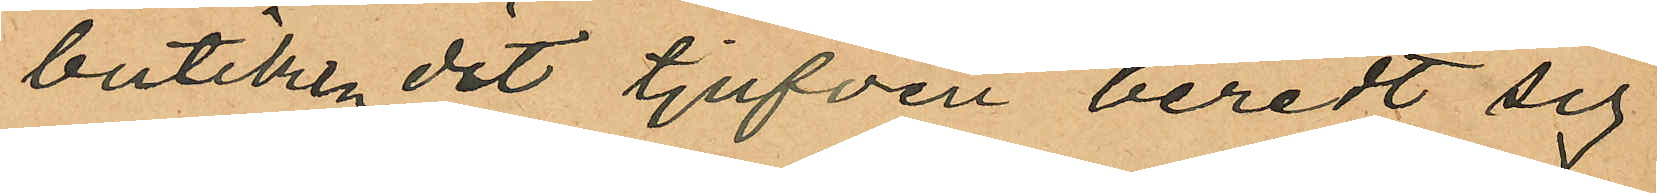butiken dit tjufven beredt sig
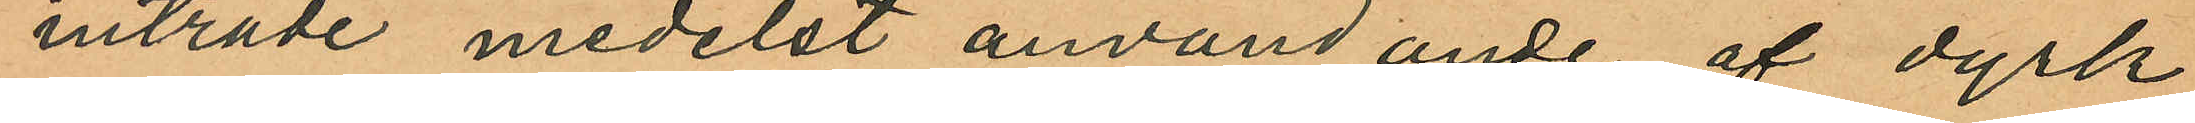inträde medelst användande af dyrk
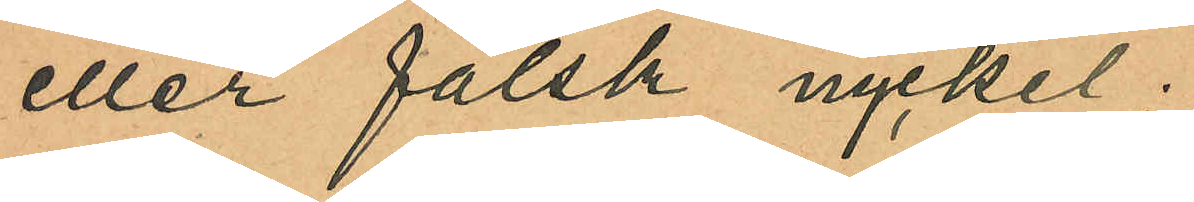eller falsk nyckel;
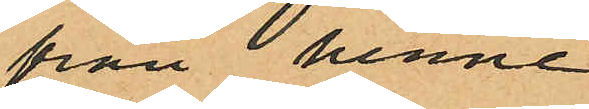från  henne
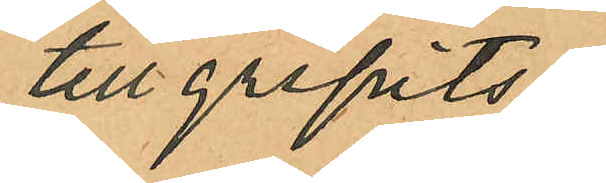tillgripits
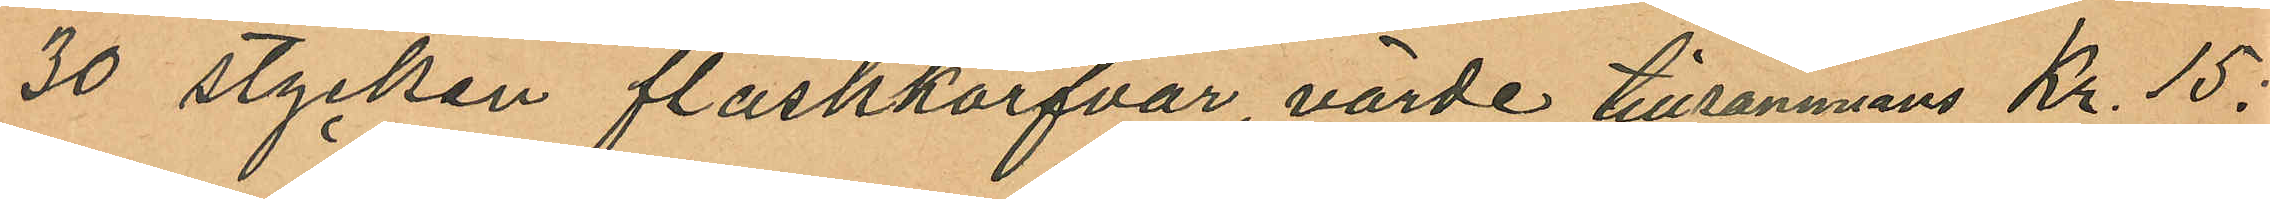30 stycken fläskkorfvar, värde tillsammans Kr. 15:
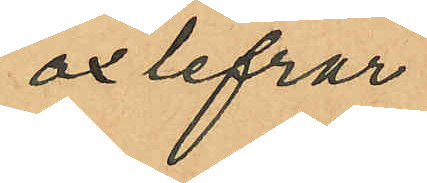oxlefrar
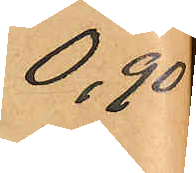0,90
